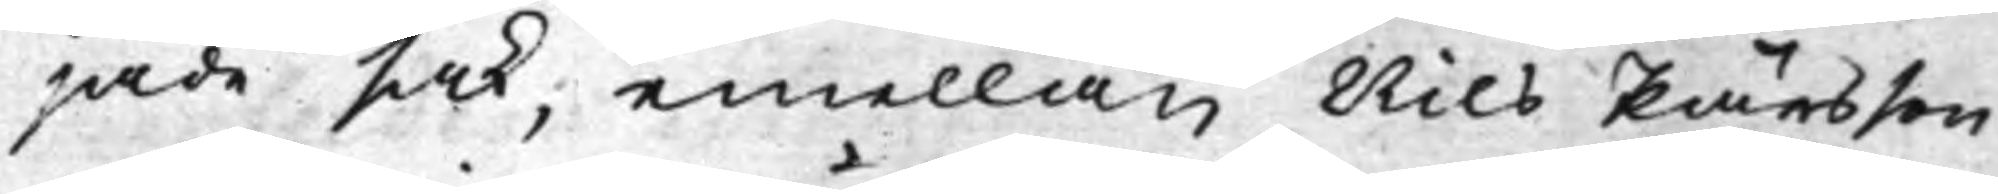jade sak; emellan Nils Pärsson
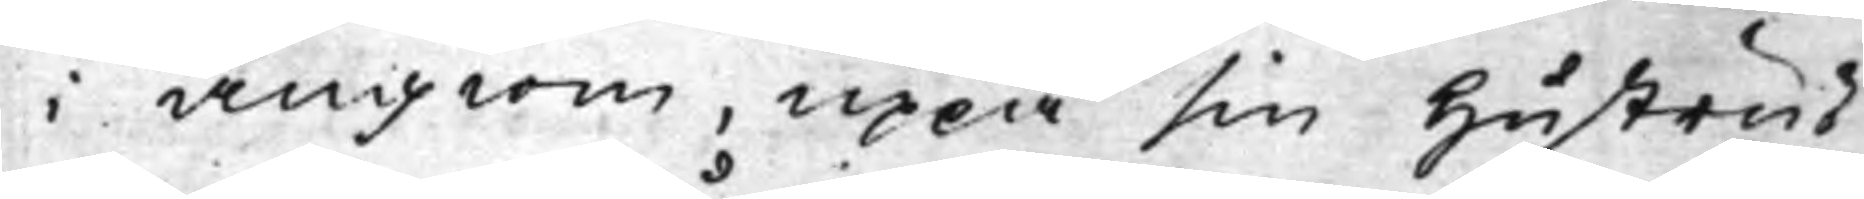i Ängiom, uppå sin Hustrus
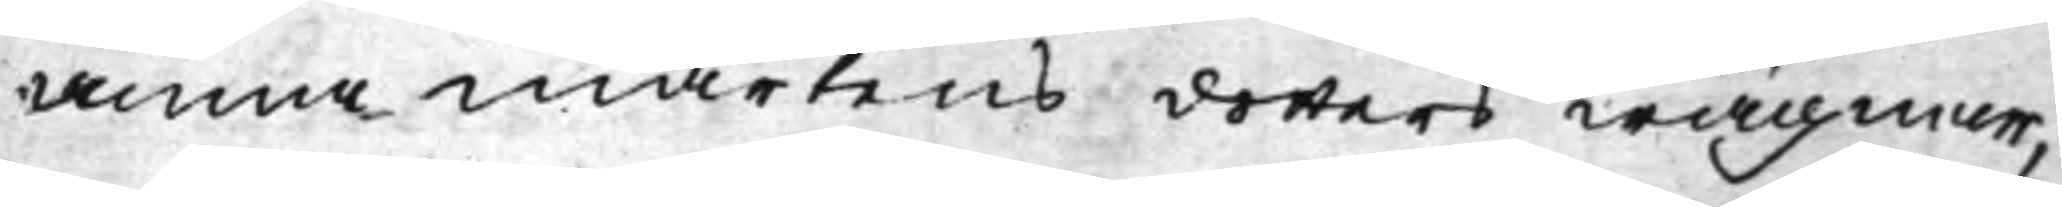Anna Mårtensdotters wägnar,
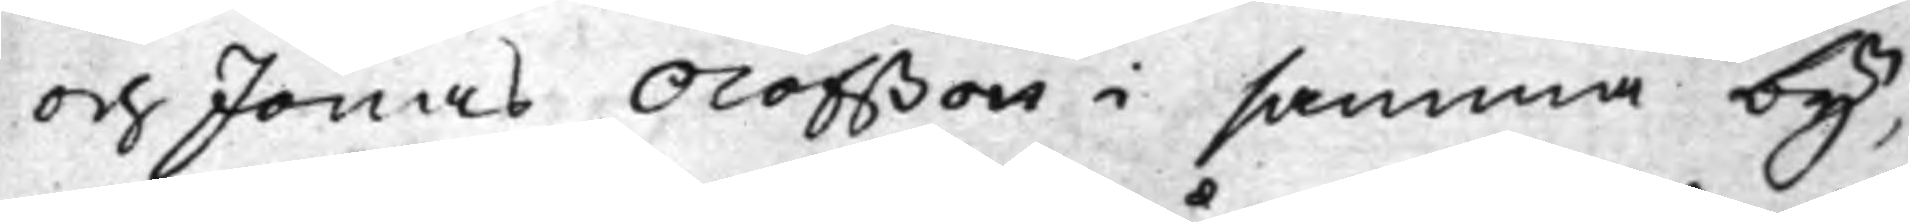och Jonas Olofßon i samma by,
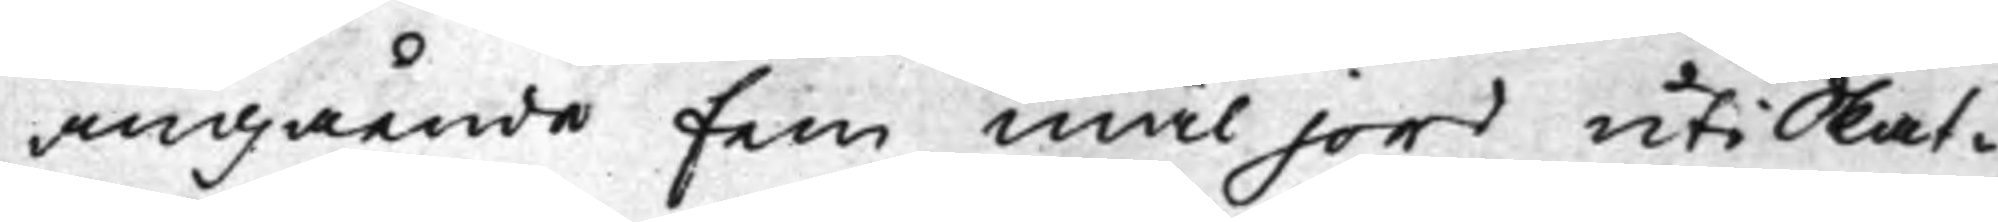angående fem mål jord uti Skat¬
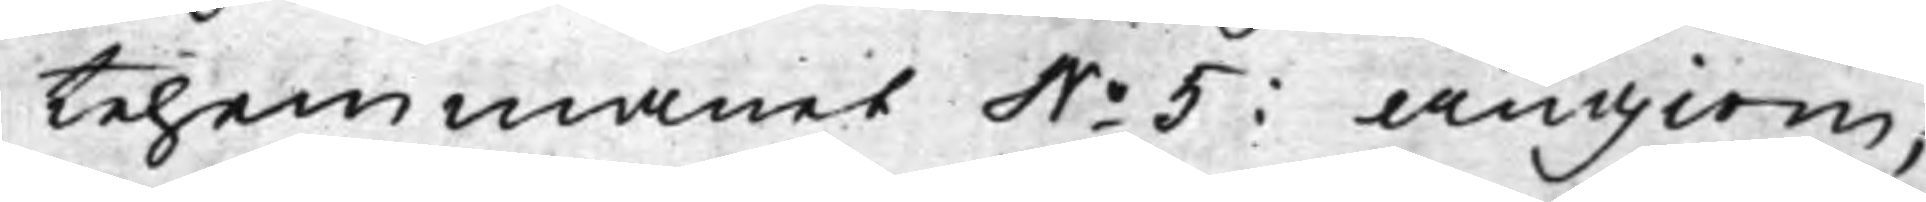tehemmanet No 5: Ängiom,
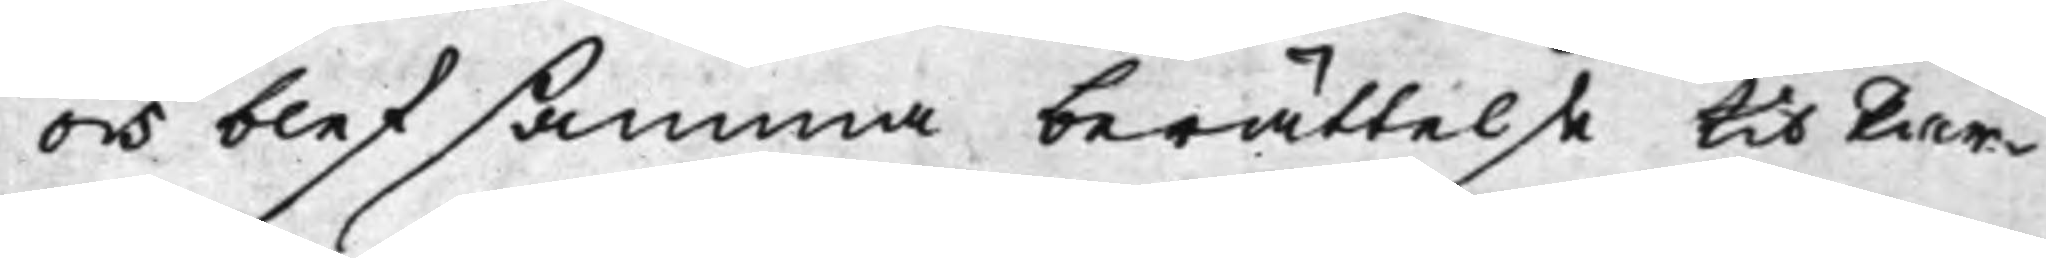och blef samma berättelse til Par¬
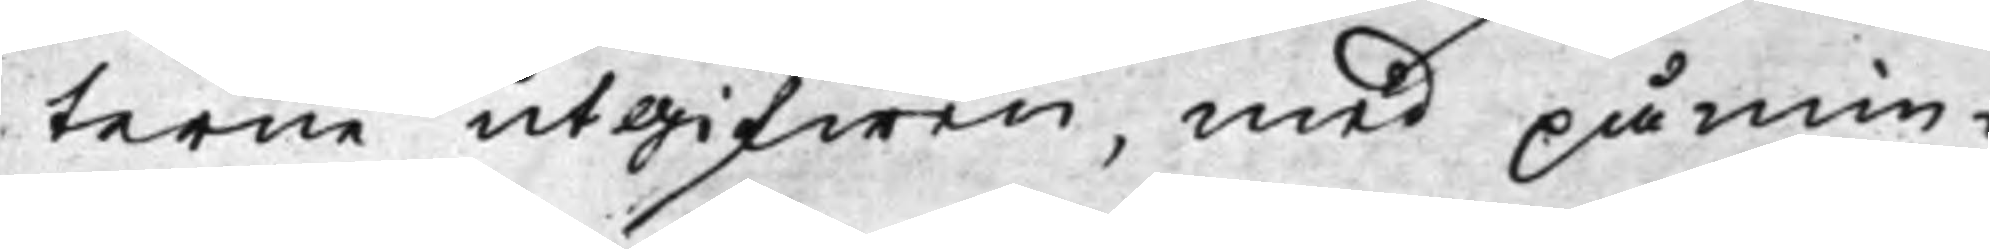terne utgifwen, med påmin¬
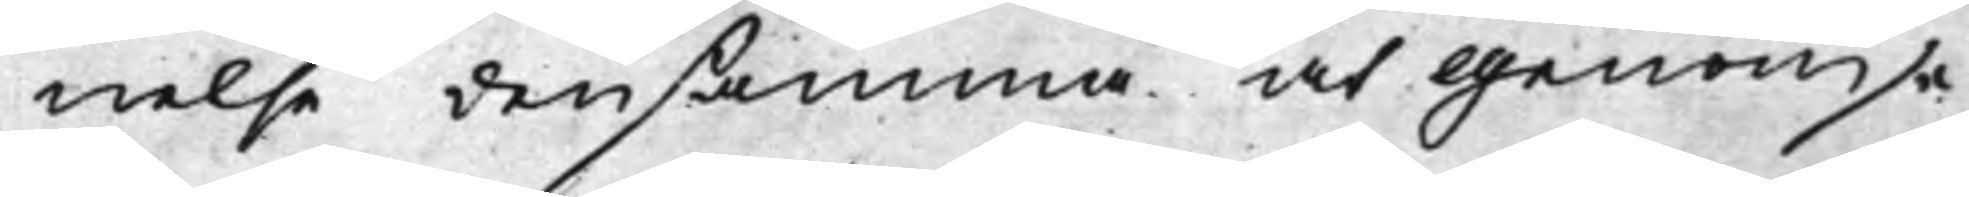nelse densamma at genomse,
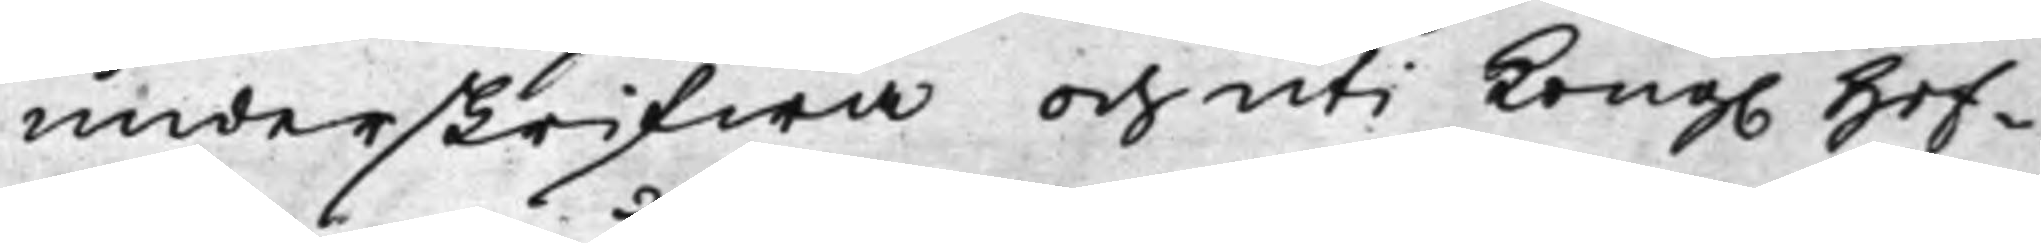underskrifwa och uti Kong. Hof¬
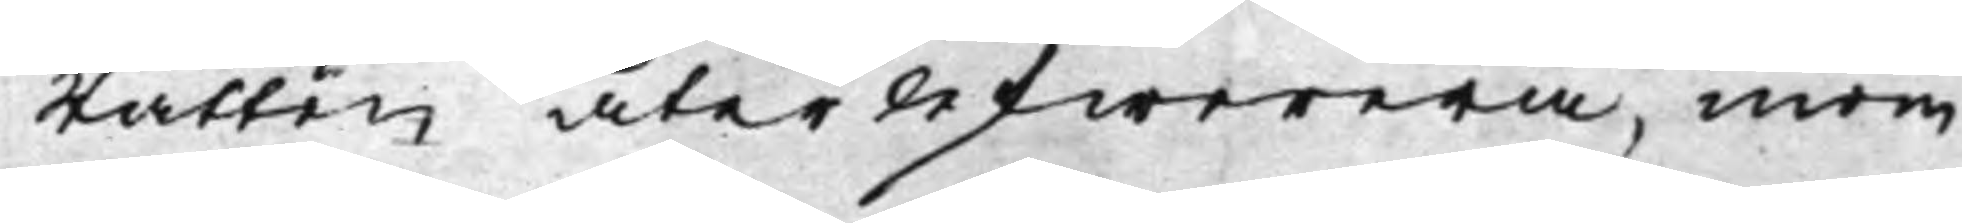Rätten återlefwerera, inom
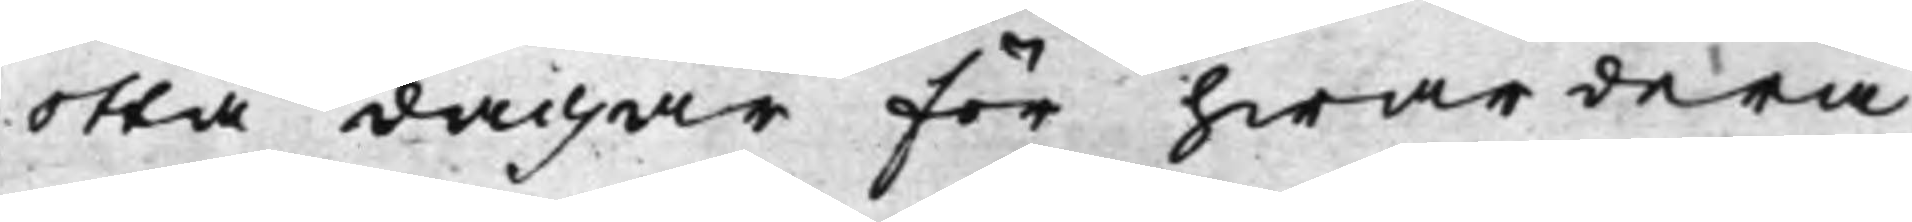otta dagar för hwardera,
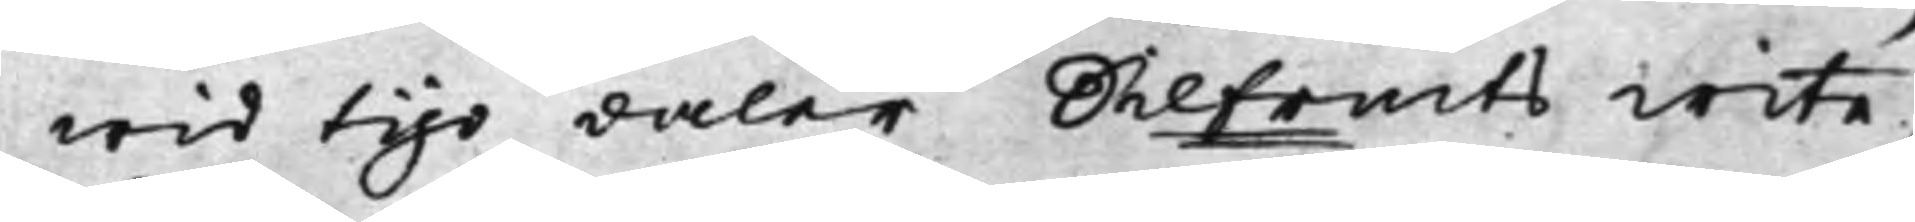wid tijo daler Silfrmts wite.
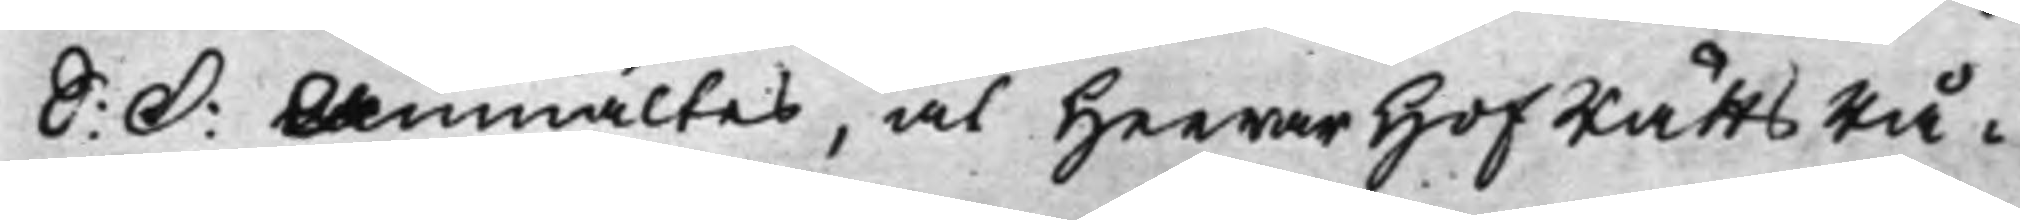S: D: Anmältes, at Herrar HofRättsRå¬
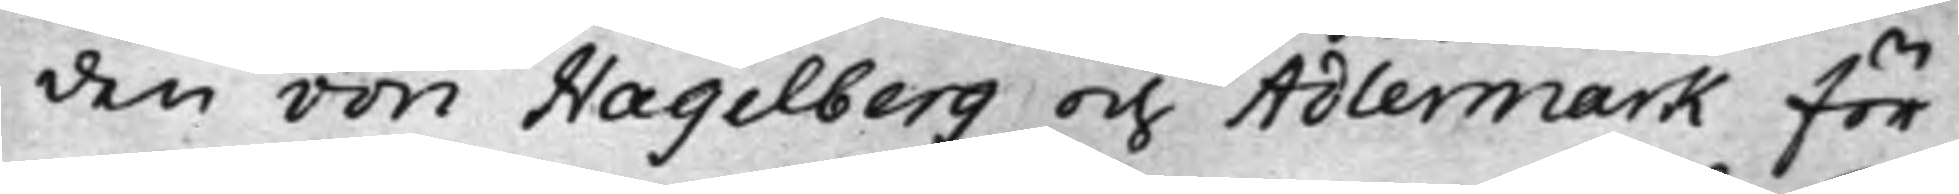den von Hagelberg och Adlermark för
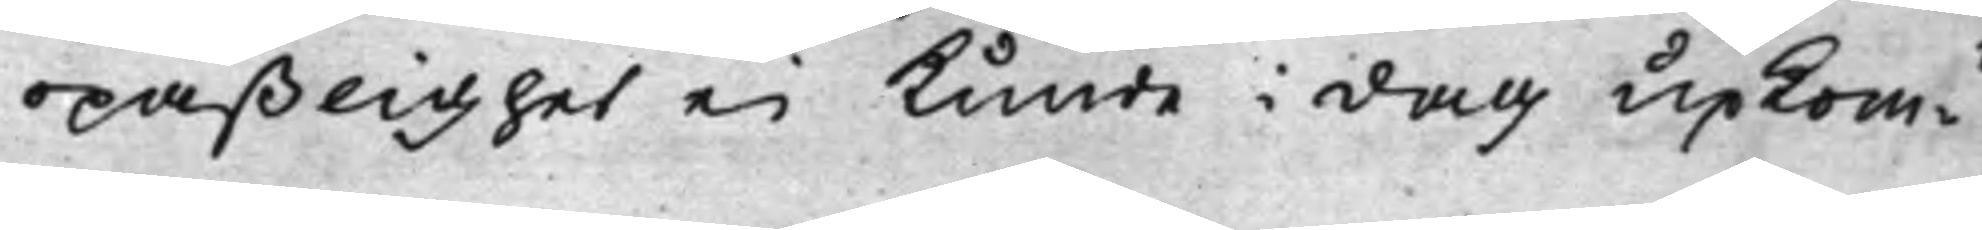opaßlighet ei kunde i dag up Kom¬
